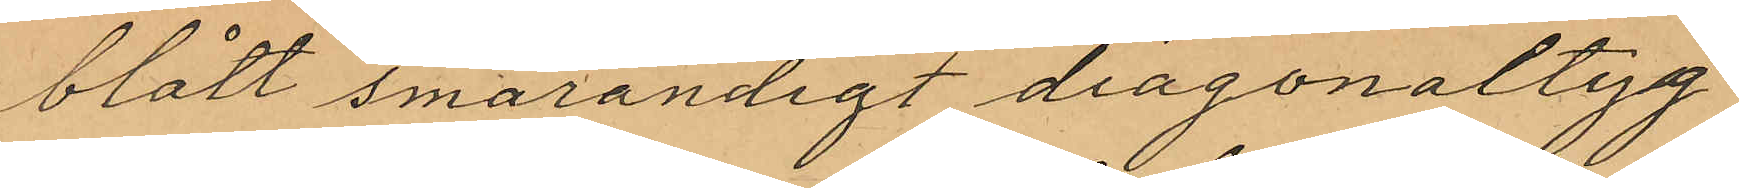blått smårandigt diagonaltyg
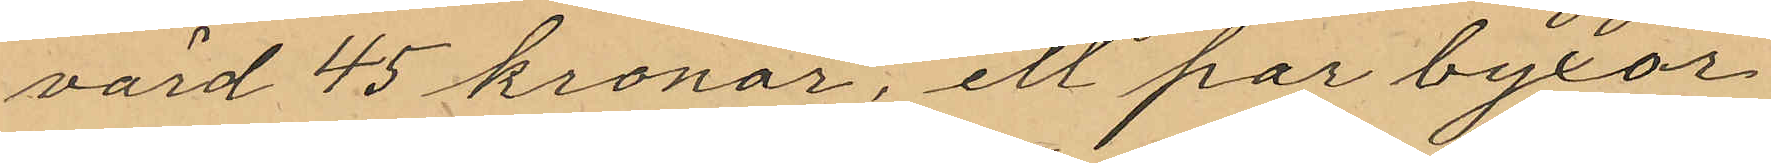värd 45 kronor, ett par byxor
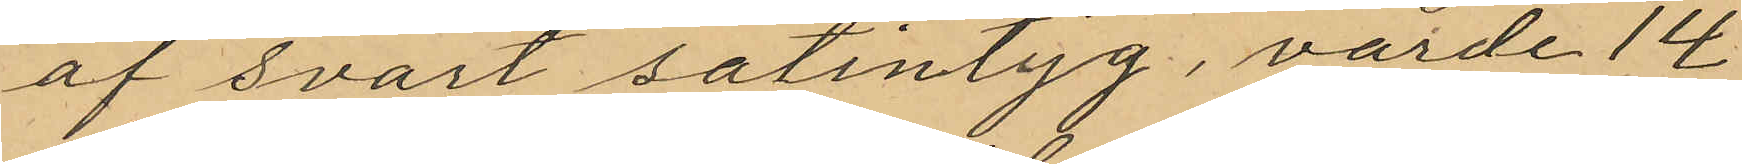af svart satintyg, varde 14
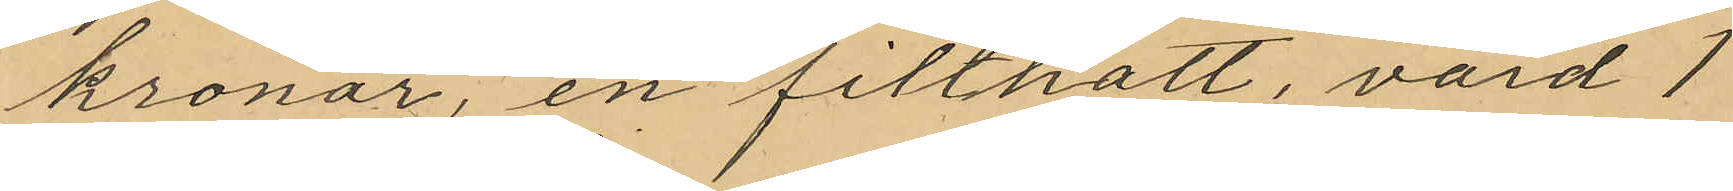kronor, en filthatt, värd 1
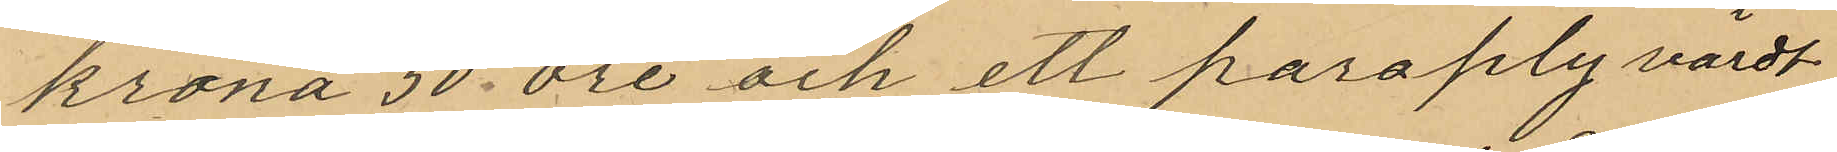krona 50 öre och ett paraply värdt
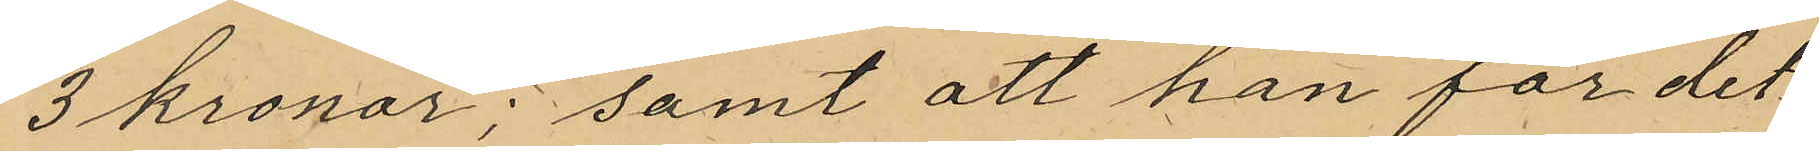3 kronor; samt att han för det¬
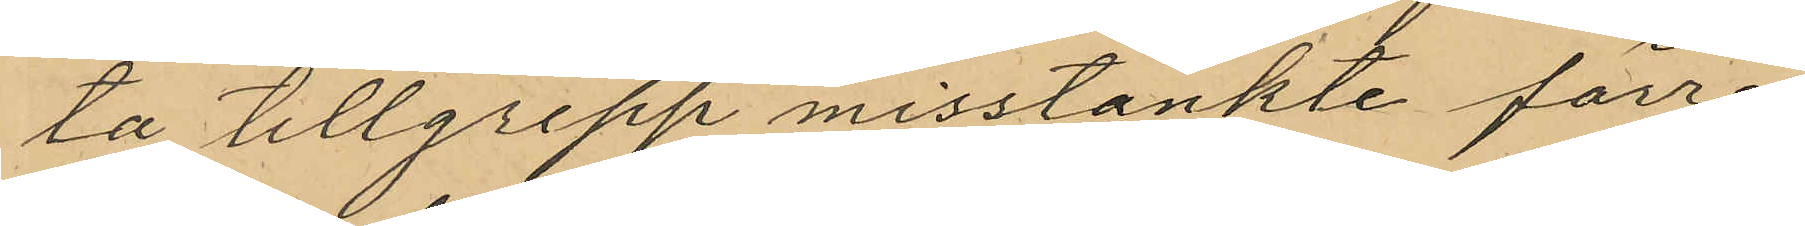ta tillgrepp misstänkte förre
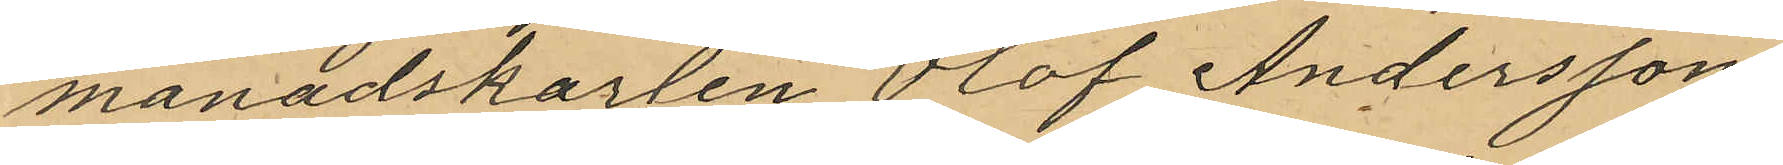månadskarlen Olof Anderssons
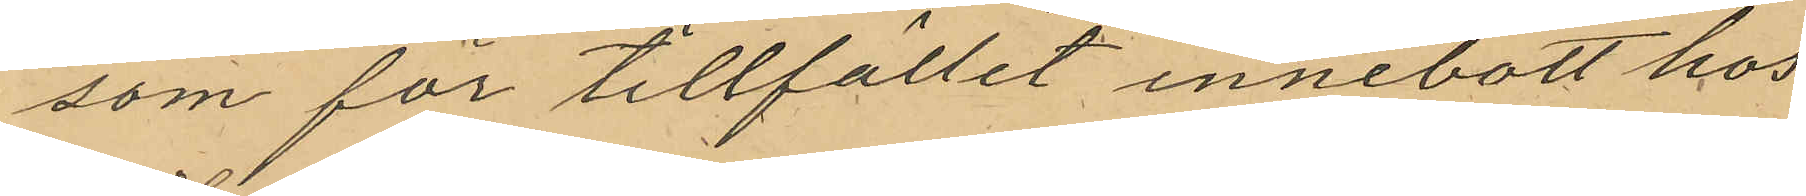som för tillfället innebott hos
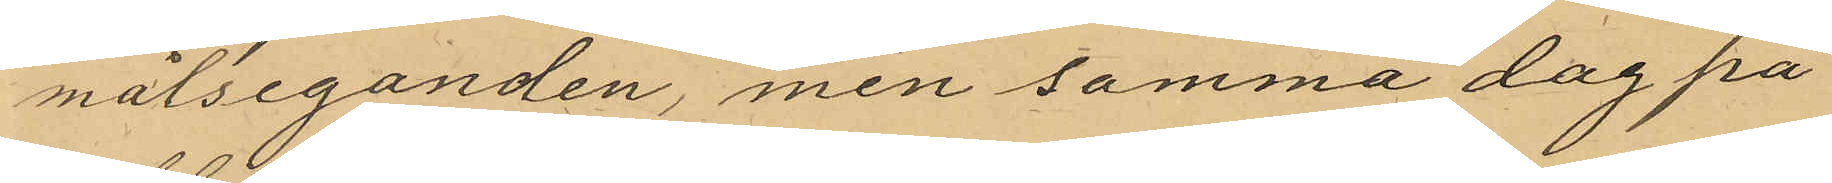målseganden, men samma dag på
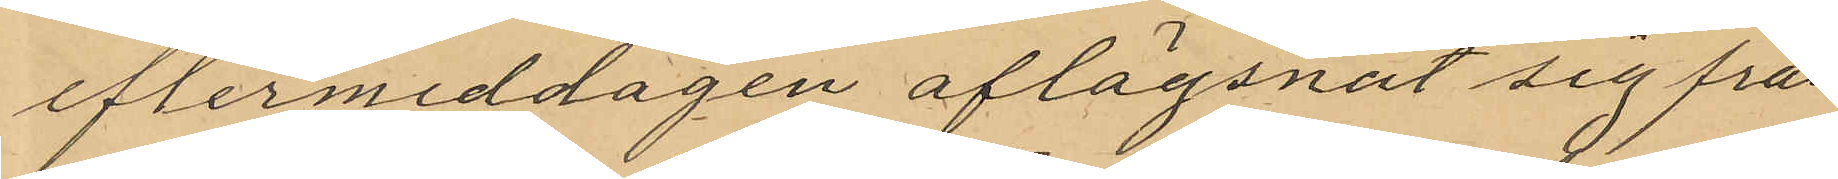eftermiddagen aflägsnat sig från
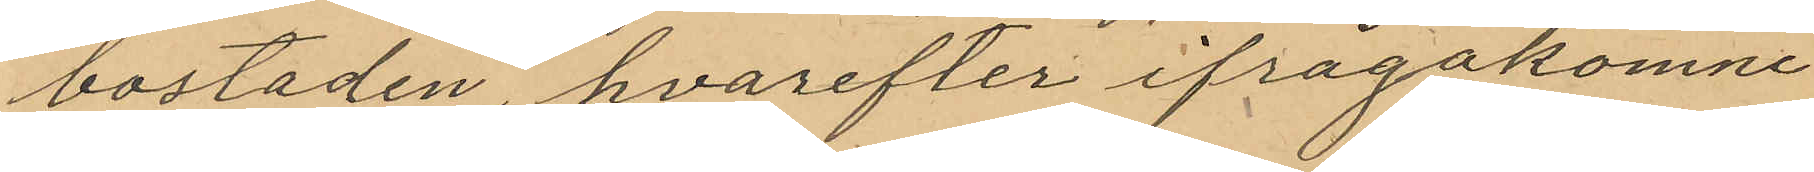bostaden, hvarefter ifrågakomne
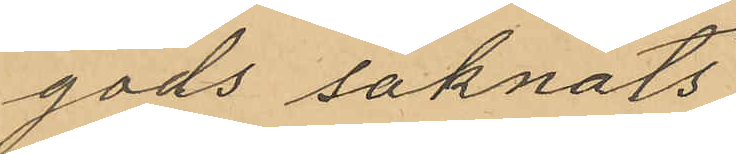gods saknats
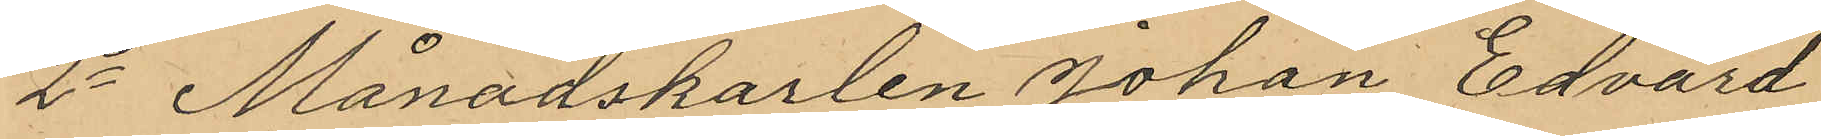2o Månadskarlen Johan Edvard
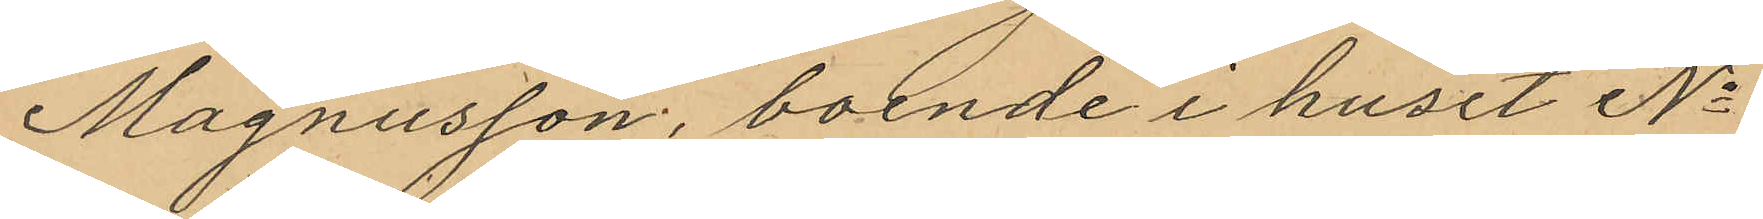Magnusson, boende i huset No
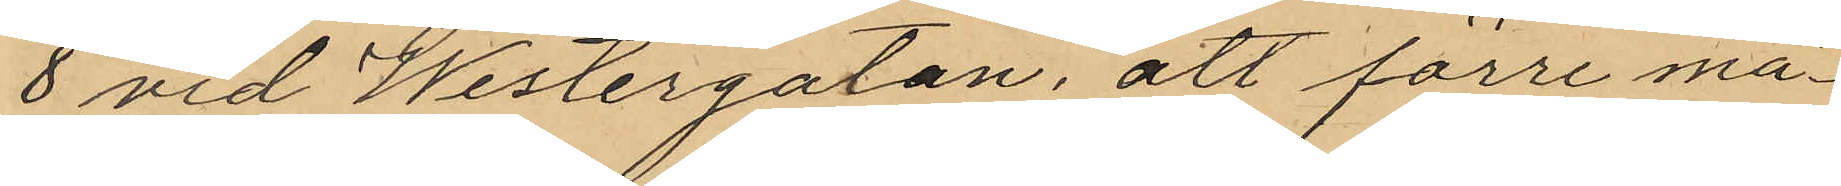8 vid Westergatan, att förre må¬
